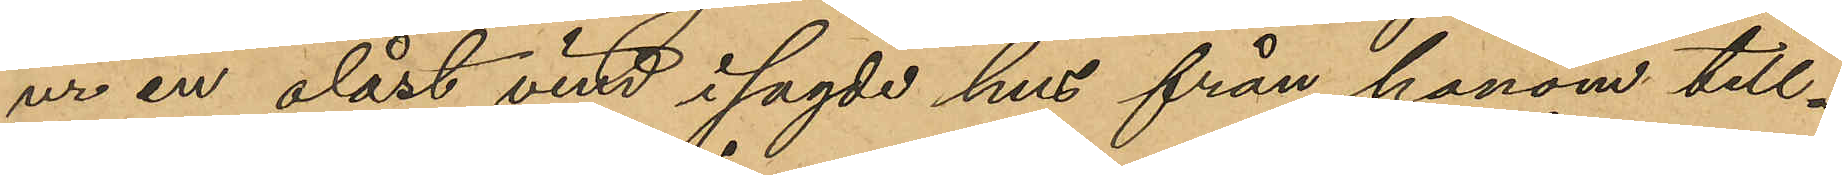ur en olåst vind i sagde hus från honom till¬
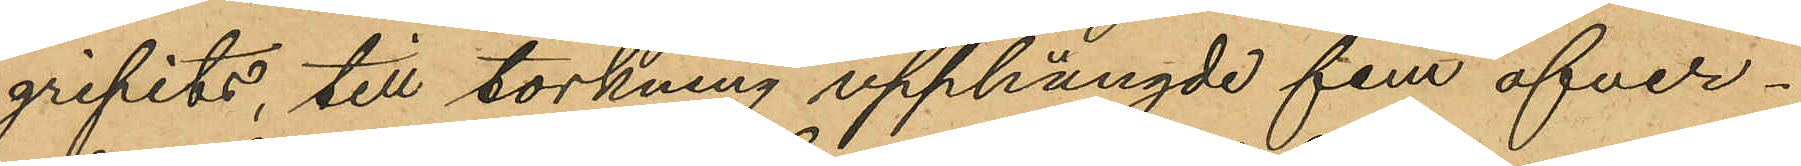gripits, till torkning upphängde fem öfver¬
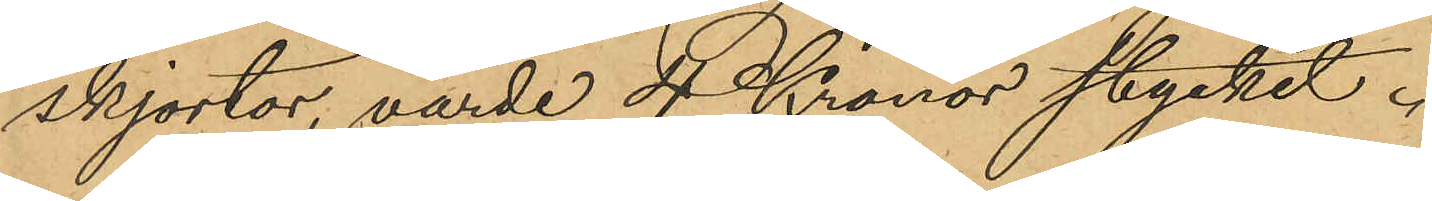skjortor, värde 4 Kronor stycket.
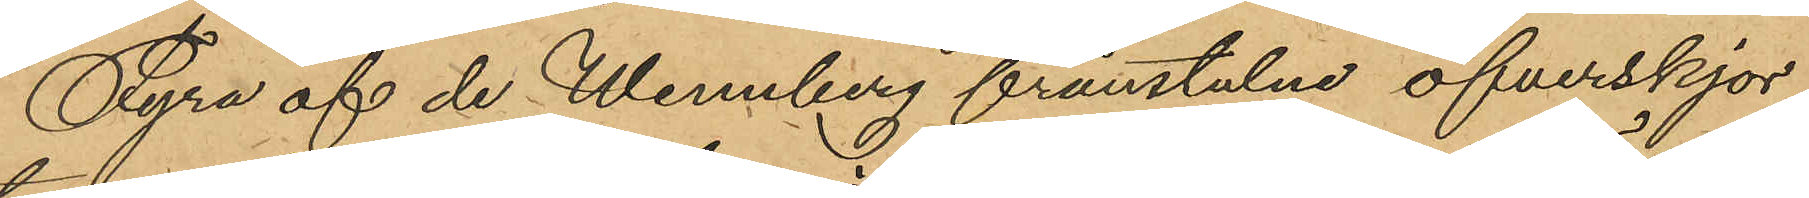Fyra af de Wennberg frånstulne öfverskjor¬
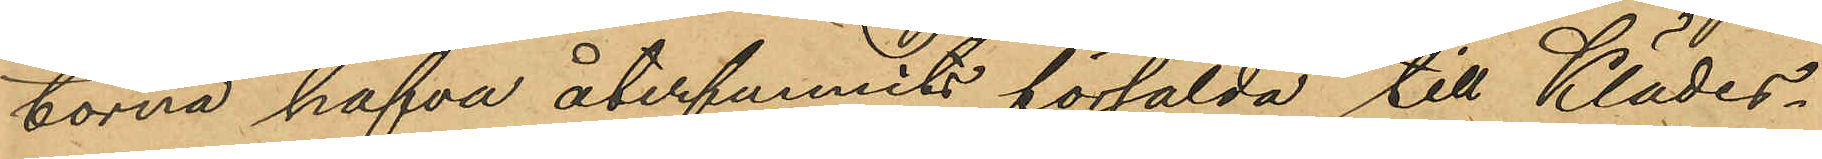torna hafva återfunnits försålda till Klädes¬
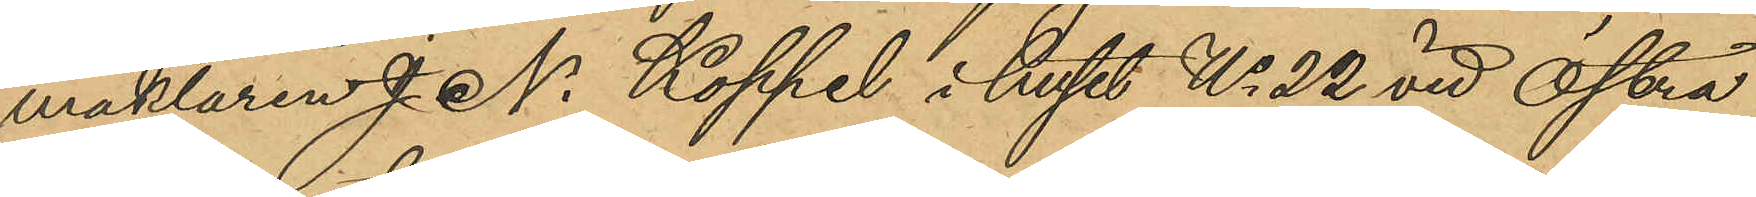mäklaren J. N. Koppel i huset No 22 vid Östra
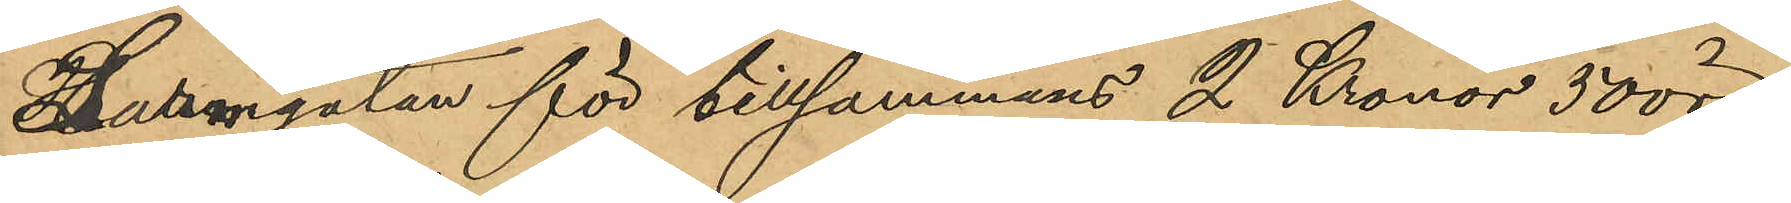Larmgatan för tillsammans 2 Kronor 50 öre
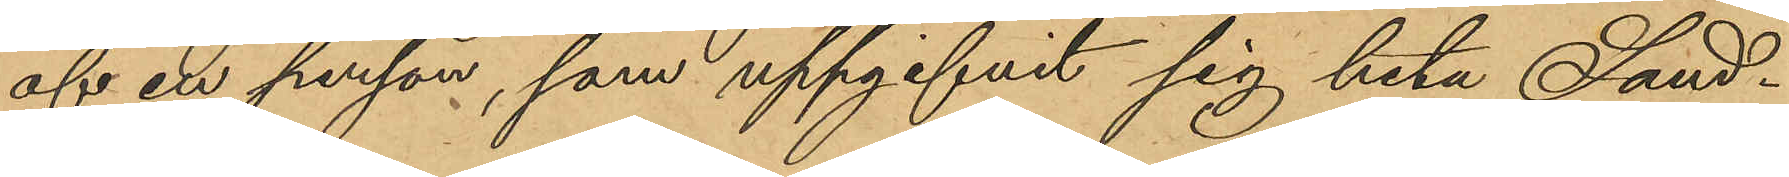af en person, som uppgifvit sig heta Sand¬
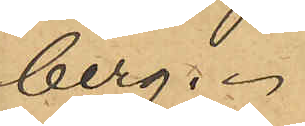berg.
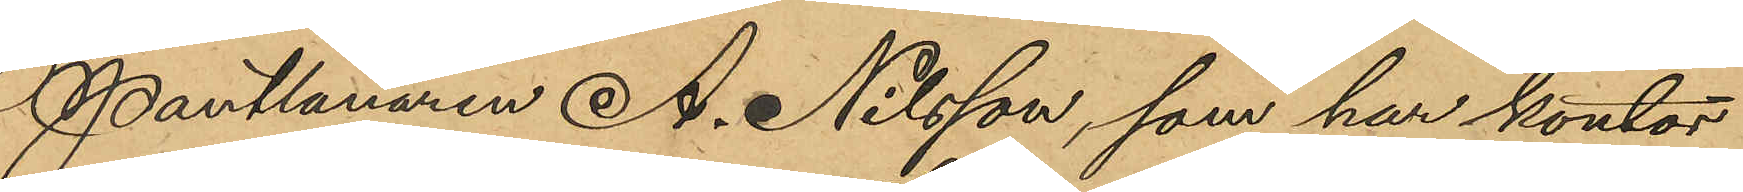Pantlånaren A. Nilsson, som har kontor
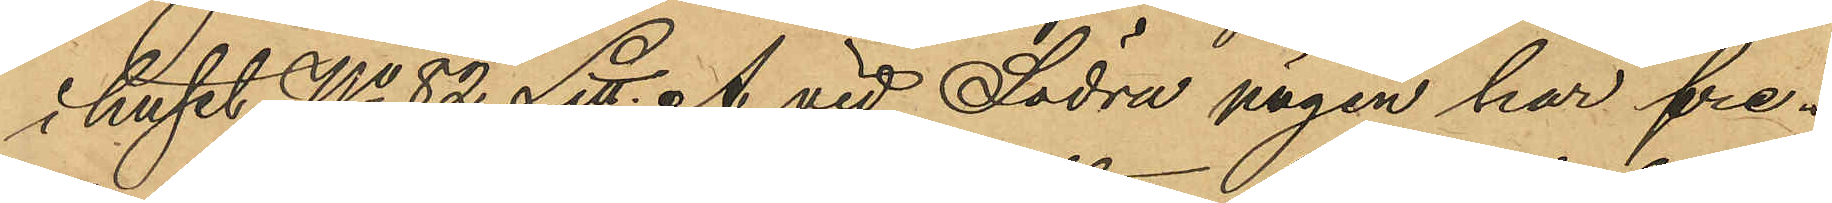i huset No 82 Litt. A vid Södra vägen har fre¬
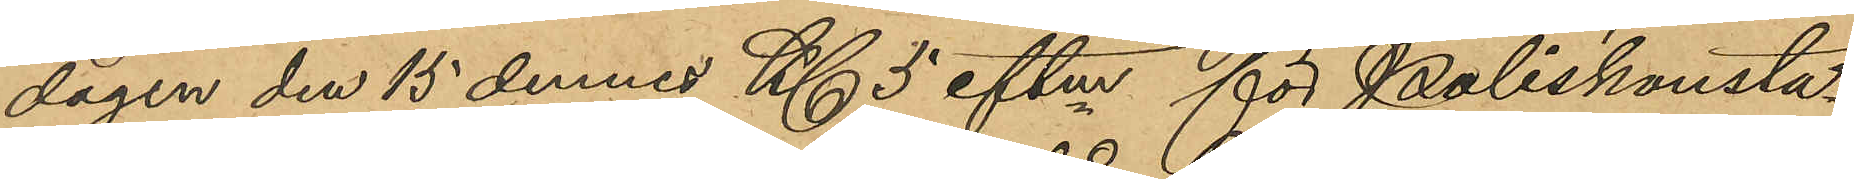dagen den 15 dennes Kl 5 eftm för Poliskonsta¬
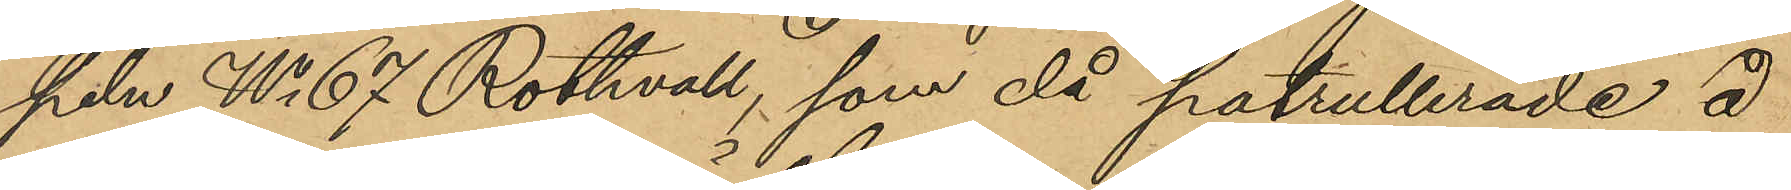peln No 67 Rothvall, som då patrullerade å
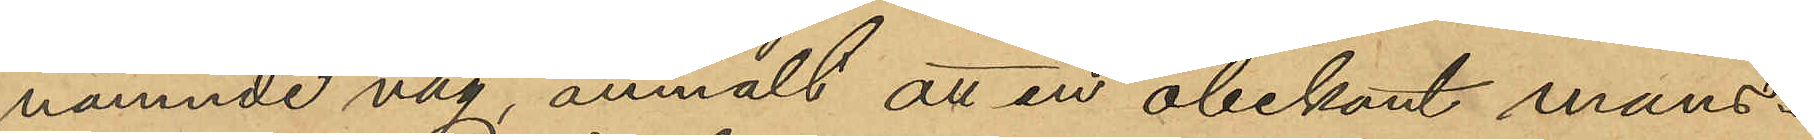nämnde väg, anmält att en obekant mans¬
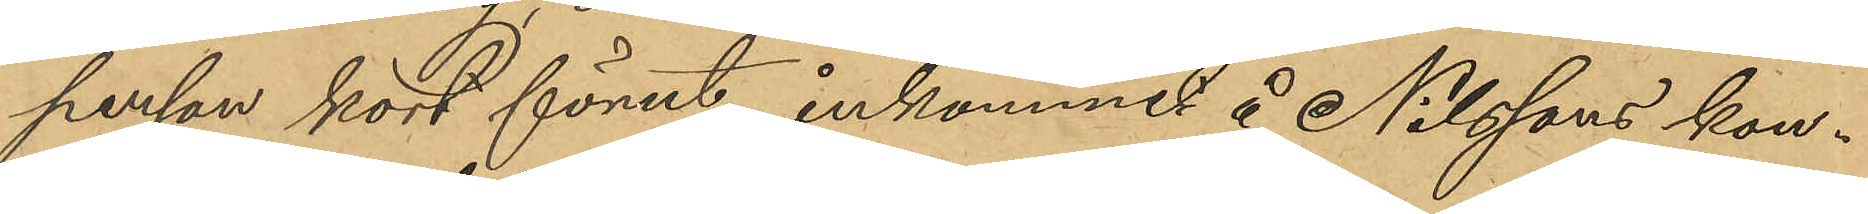person kort förut inkommit å Nilssons kon¬
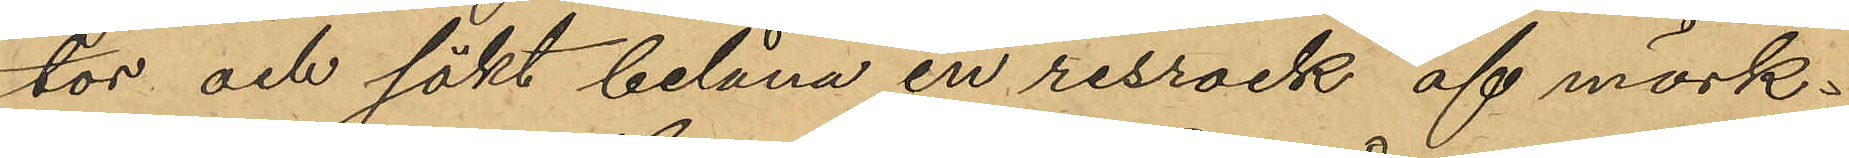tor och sökt belåna en resrock af mörk¬
